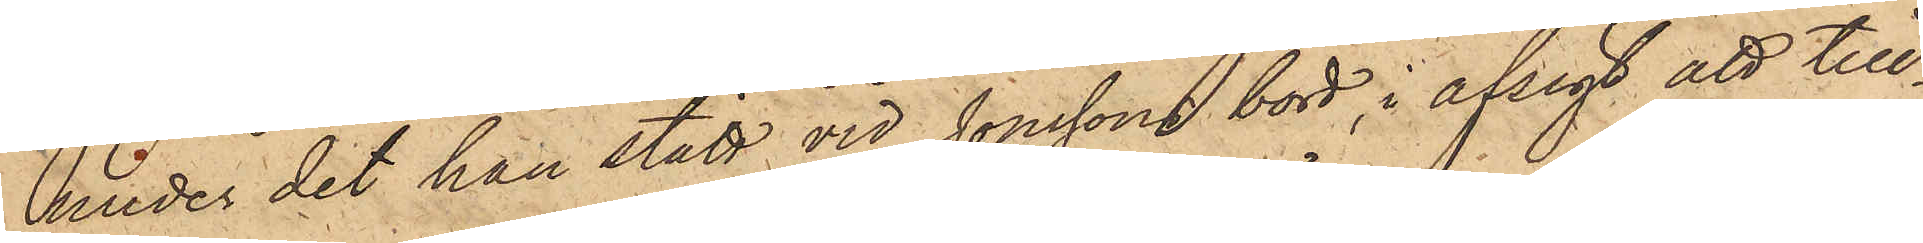under det han stått vid Jonssons bord i afsigt att till¬
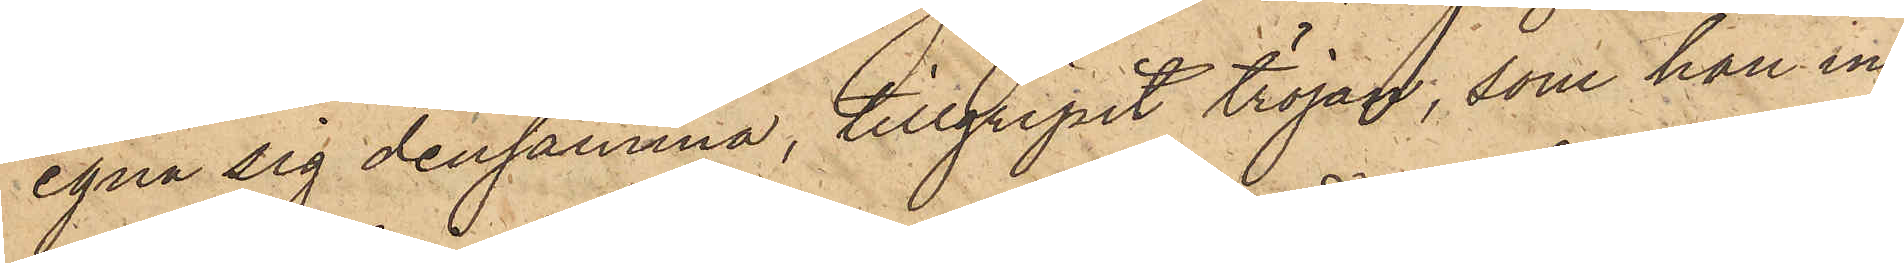egna sig densamma, tillgripit tröjan, som han in¬
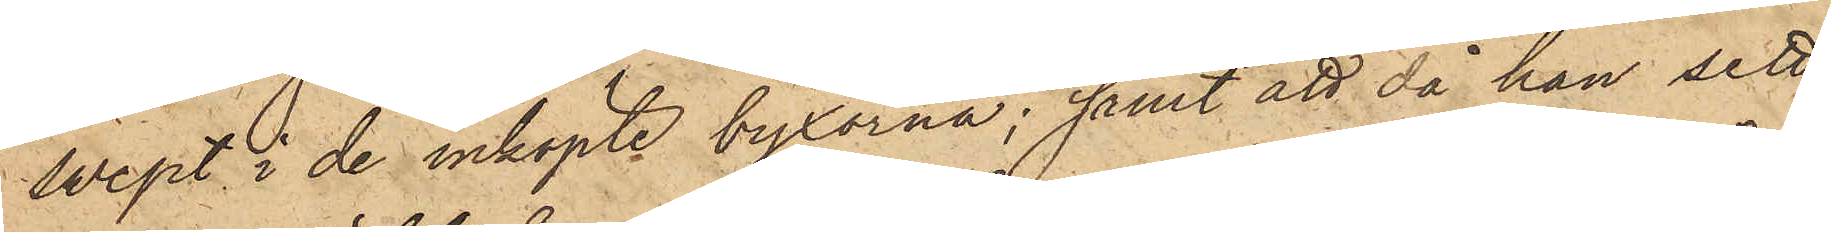swept i de inköpte byxorna; samt att då han sett
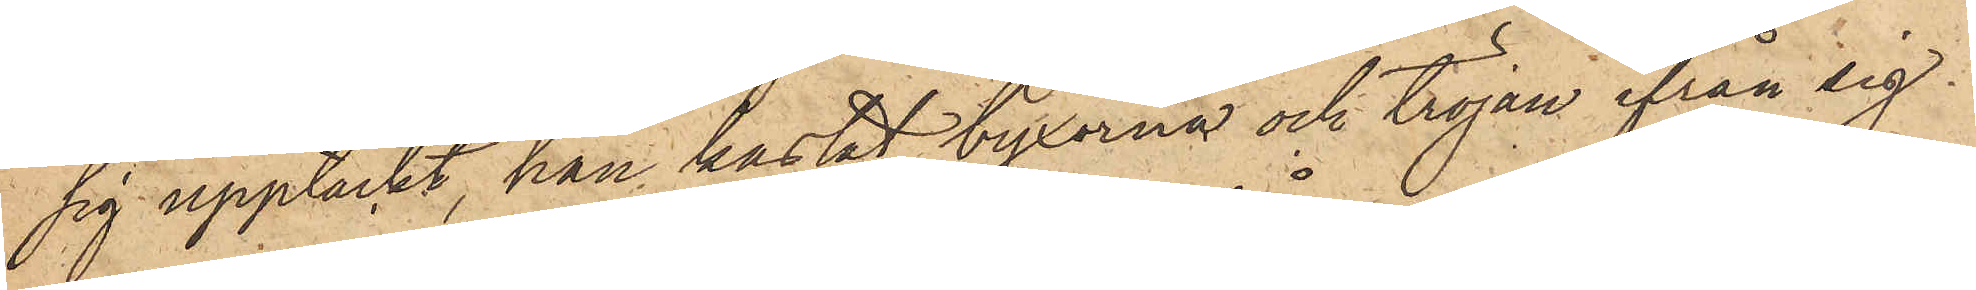sig upptäckt, han kastat byxorna och tröjan ifrån sig
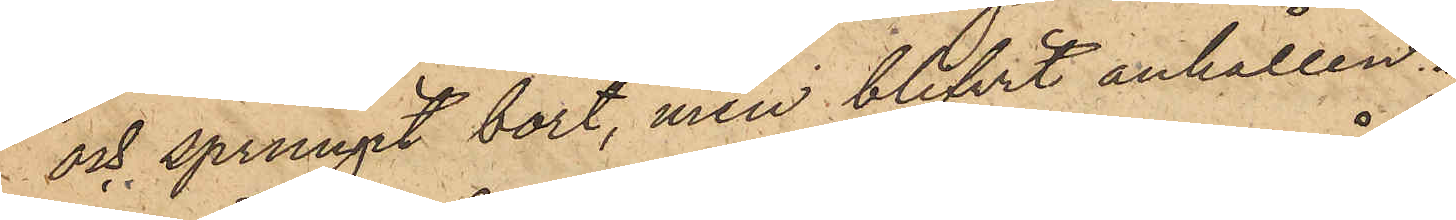och sprungit bort, men blifvit anhållen.
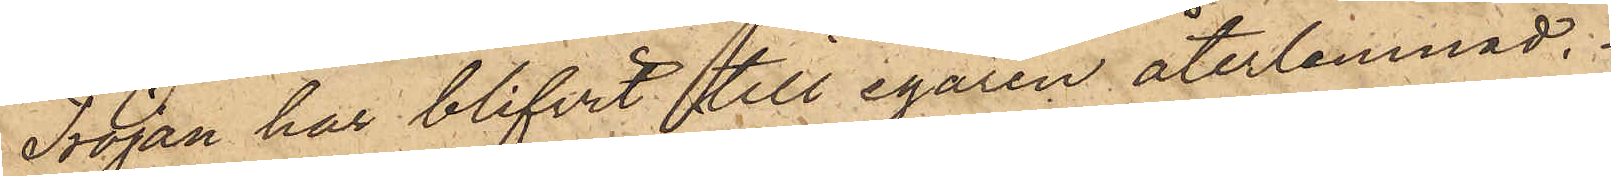Tröjan har blifvit till egaren återlemnad.
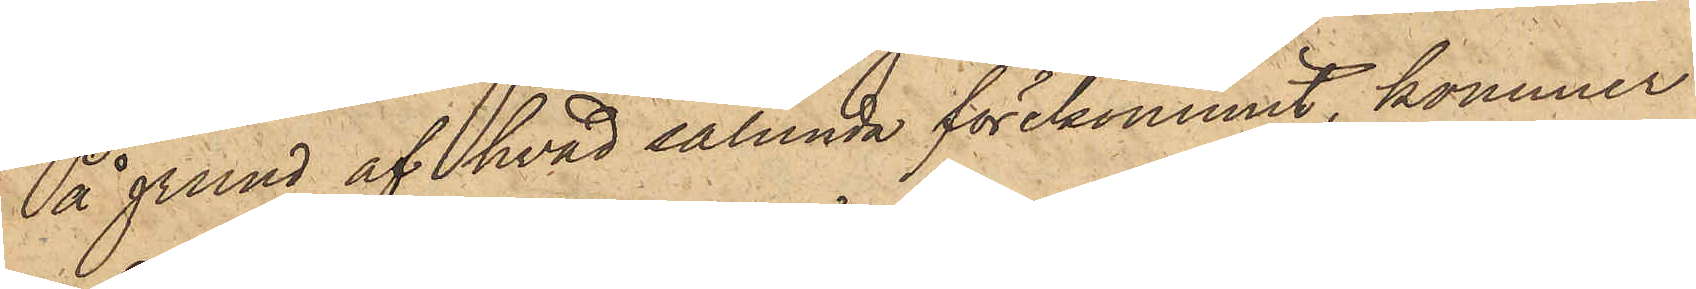På grund af hvad sålunda förekommit, kommer
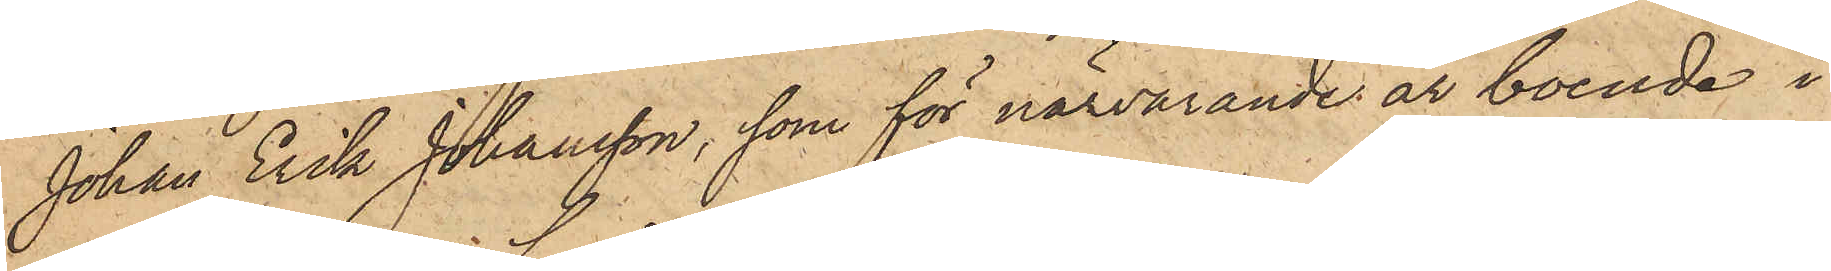Johan Erik Johansson, som för närvarande är boende i
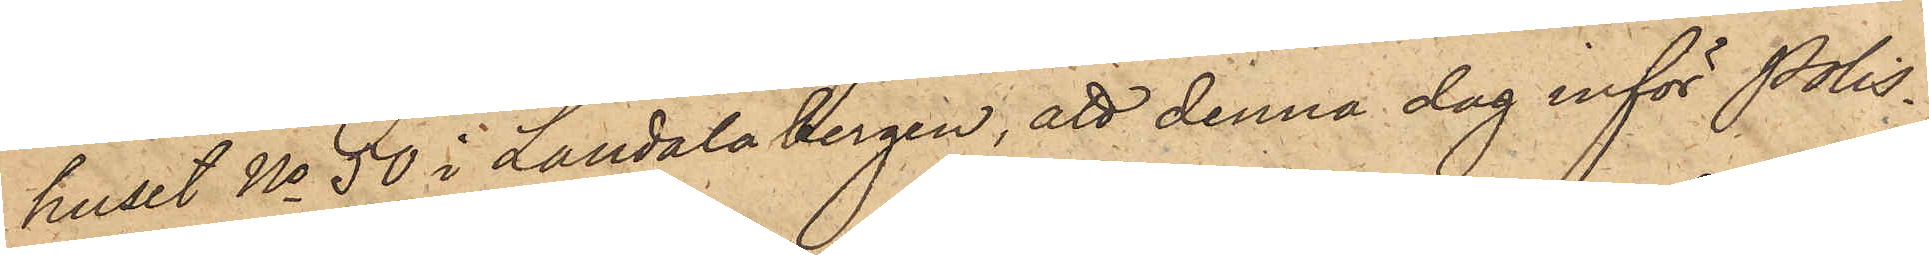huset No 50 i Landala bergen, att denna dag inför Polis¬
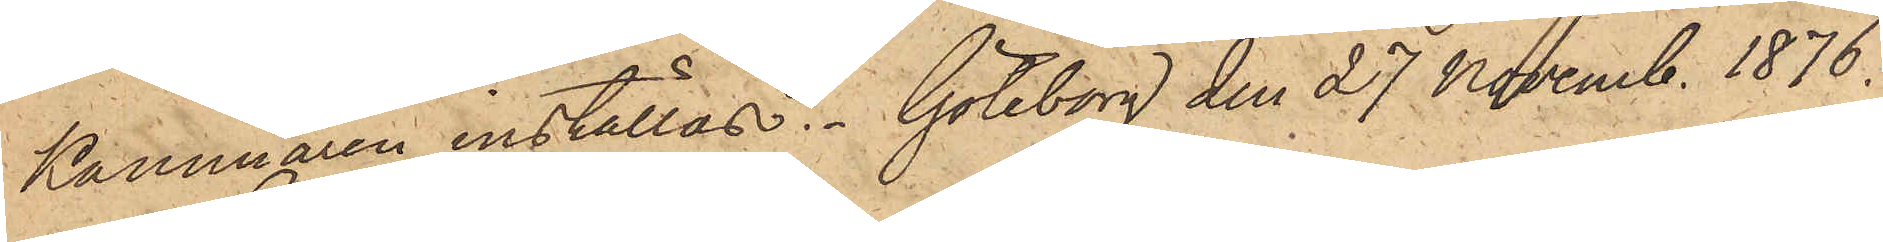Kamgren inställas. Göteborg den 27 Novemb. 1876.
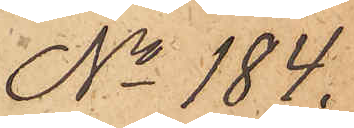No 184.
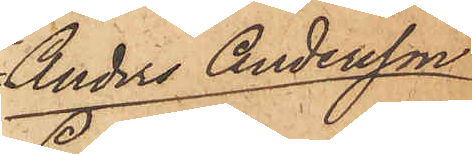Anders Andersson
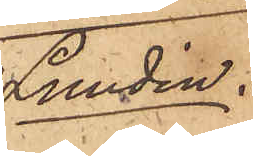Lundin.
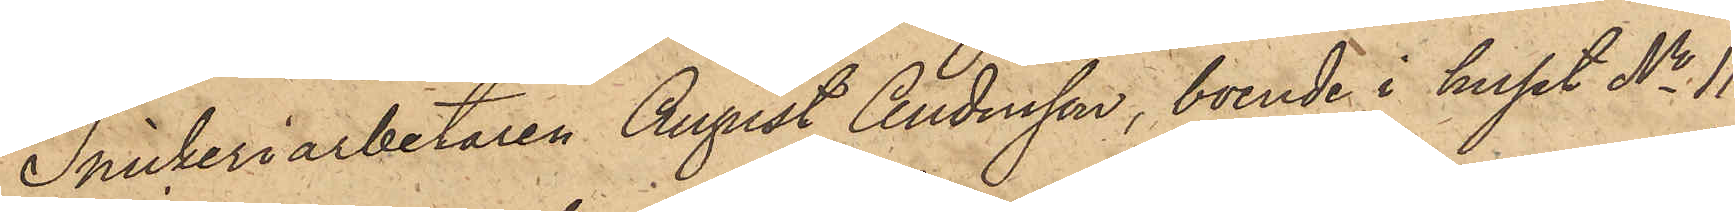Snickeriarbetaren August Andersson, boende i huset No 11
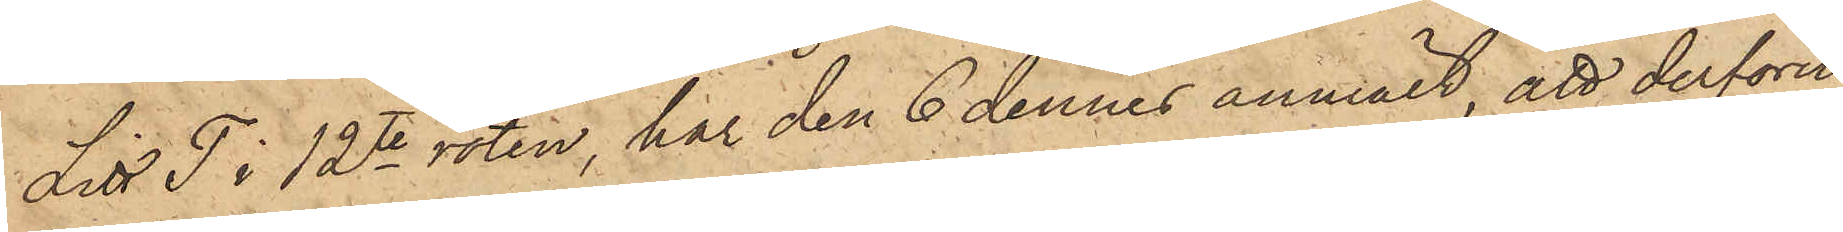Litt T i 12te roten, har den 6 dennes anmält, att derföre
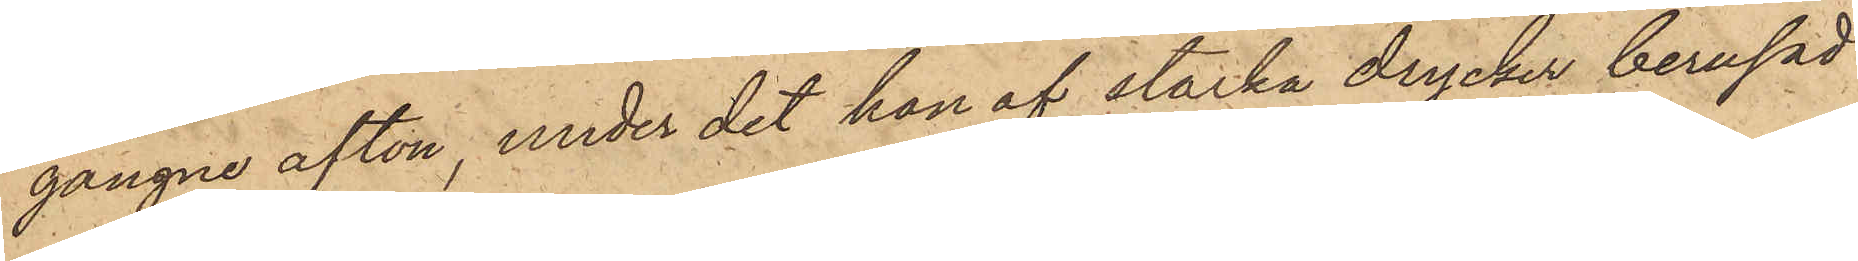gångne afton, under det hon af starka drycker berusad
